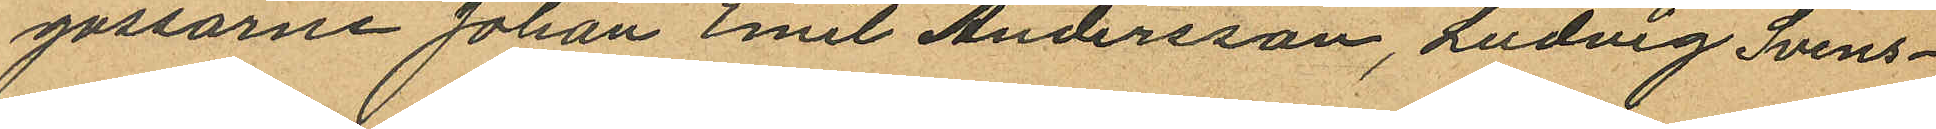gossarne Johan Emil Andersson, Ludvig Svens¬
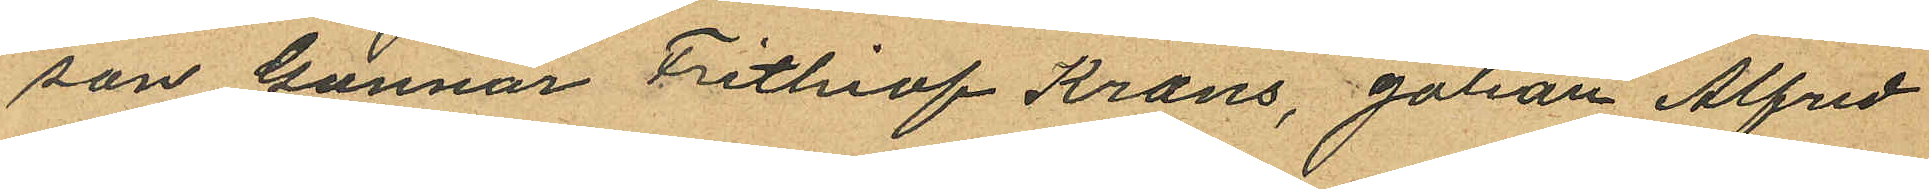son Gunnar Frithiof Krans, Johan Alfred
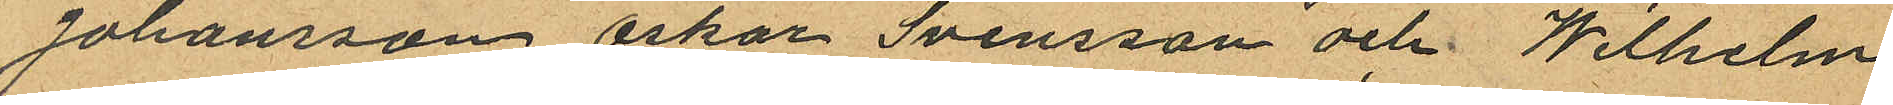Johansson Oskar Svensson och Wilhelm
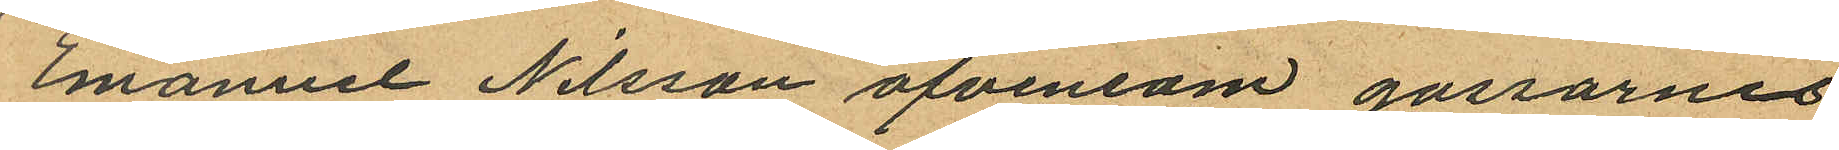Emanuel Nilsson äfvensom gossarnes
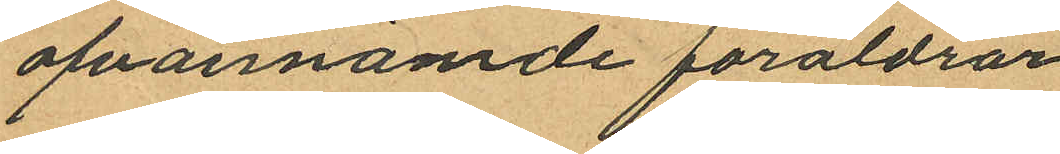ofvannämde föräldrar
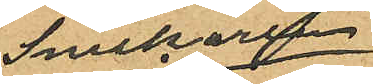Snickaren
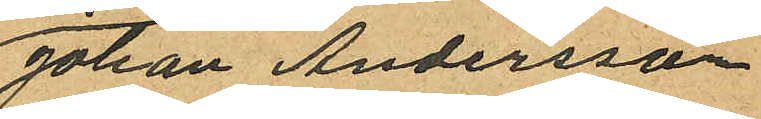Johan Andersson
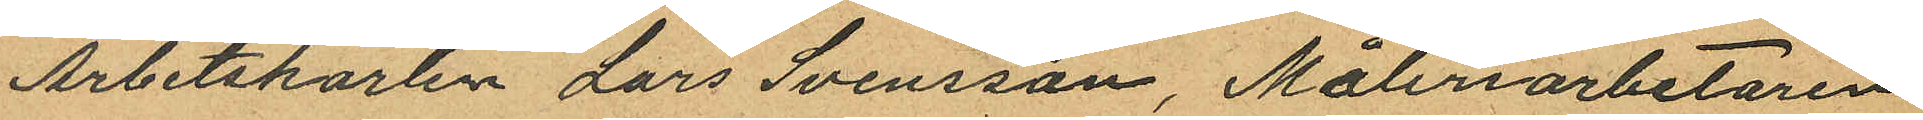Arbetskarlen Lars Svensson, Måleriarbetaren
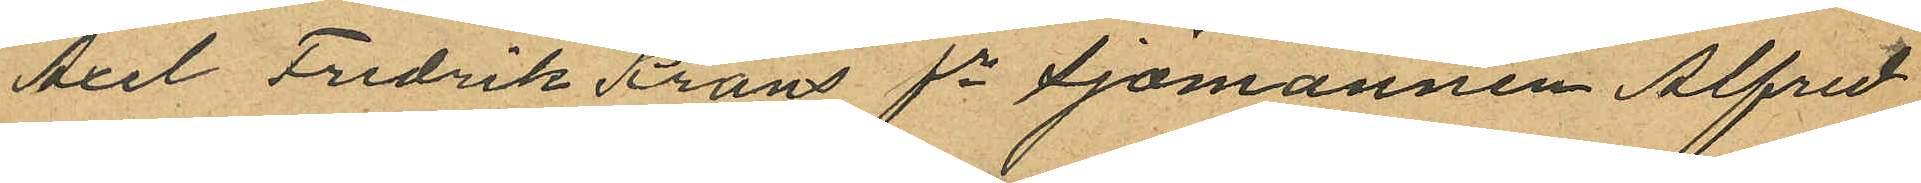Axel Fredrik Krans fe Sjömannen Alfred
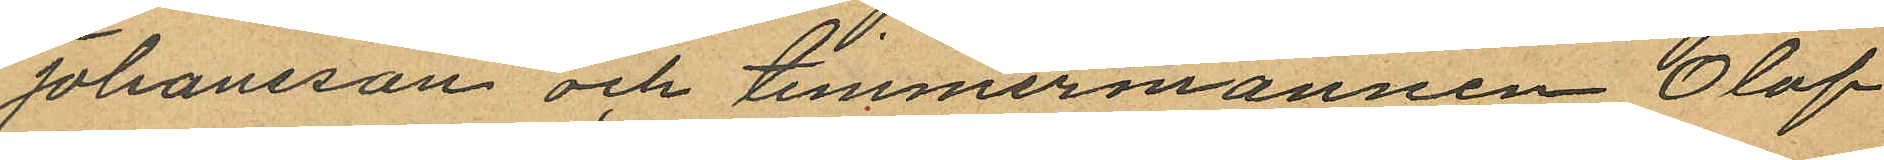Johansson och timmermannen Olof
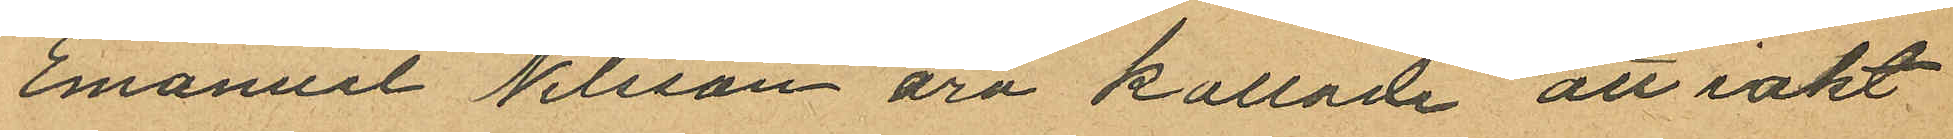Emanuel Nilsson äro kallade att iakt
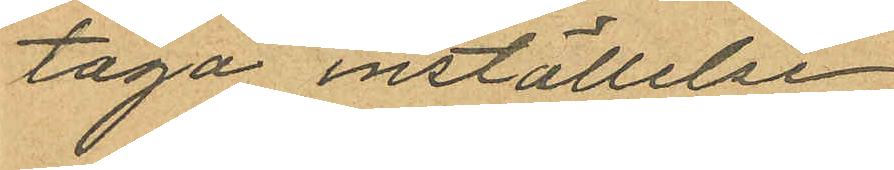taga inställelse
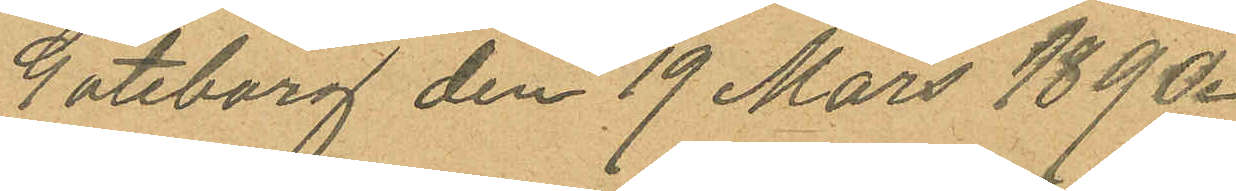Göteborg den 19 Mars 1890.
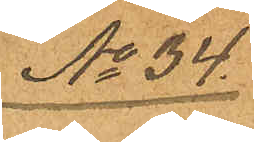No 34.
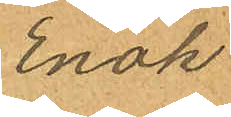Enok
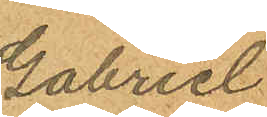Gabriel
